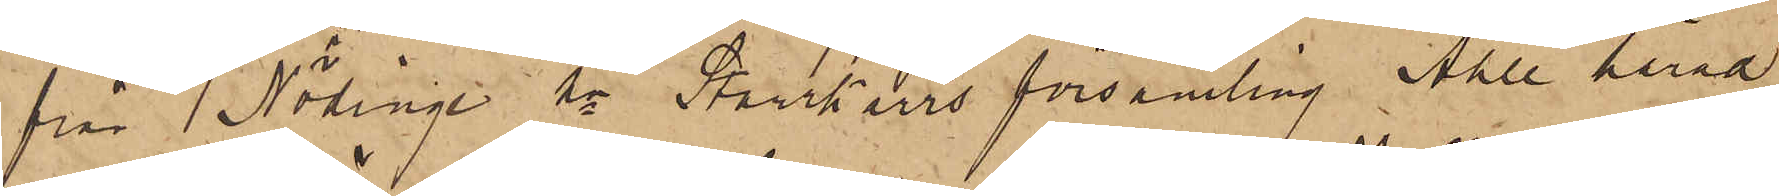från Nödinge sn Starrkärrs församling Ahle härad
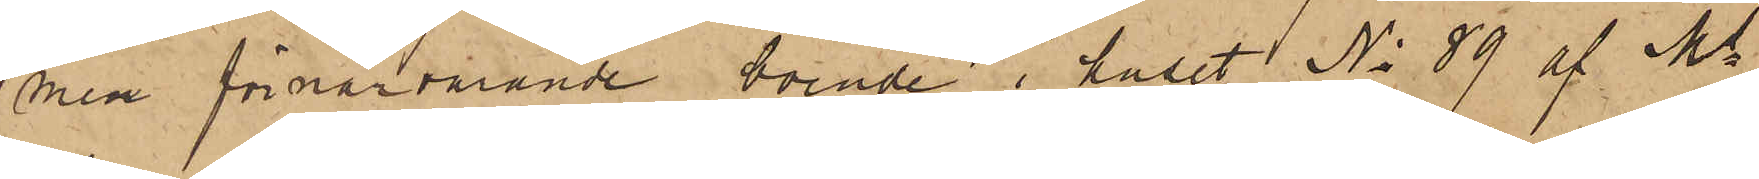men förnärvarande boende i huset No 89 af Ms
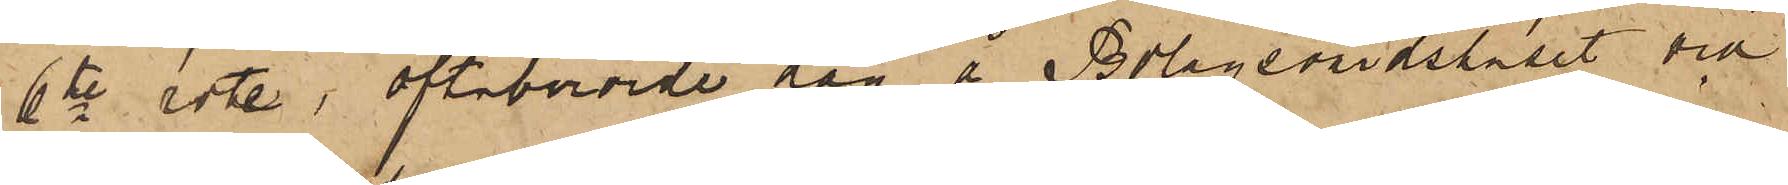6te rote, oftaberörde dag å Bolagsvärdshuset vid
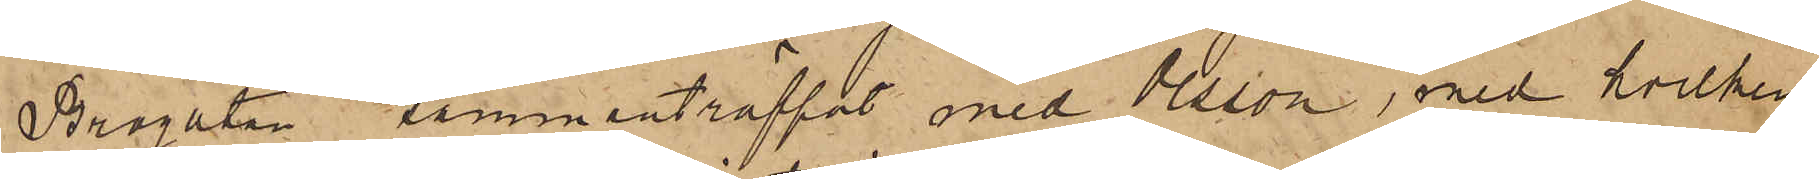Brogatan sammanträffat med Olsson, med hvilken
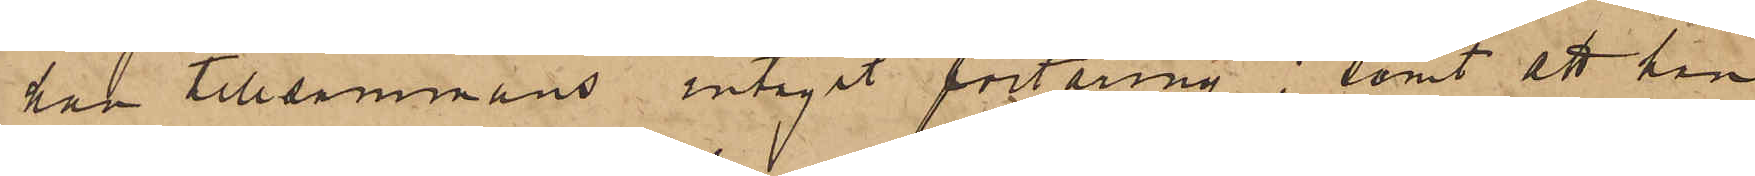han tillsammans intagit förtäring; samt att han
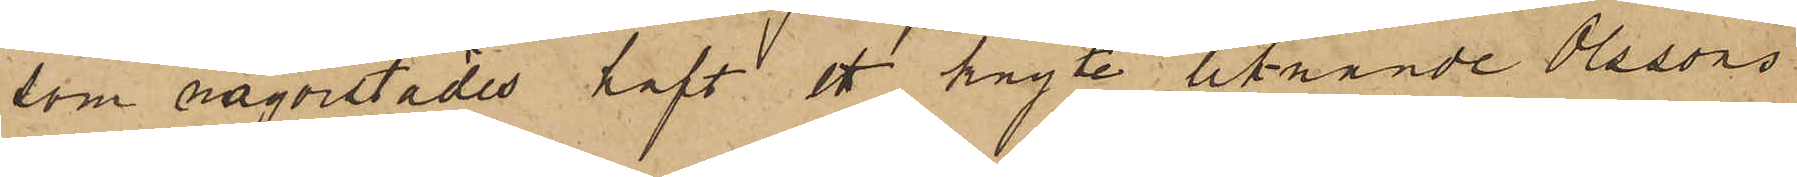som någonstädes haft ett knyte liknande Olssons
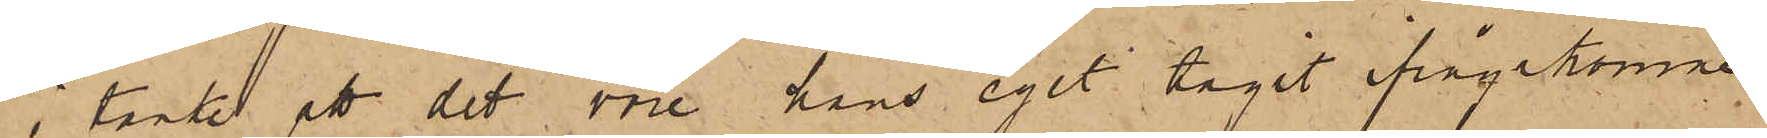i tanke att det vore hans eget tagit ifrågakomne
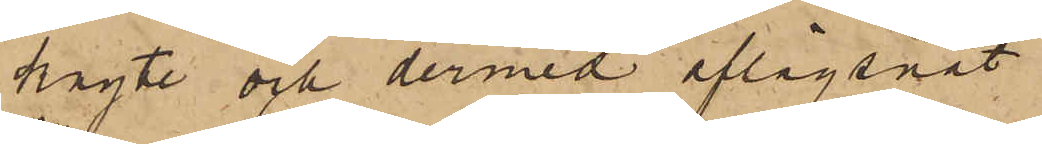knyte och dermed aflägsnat.
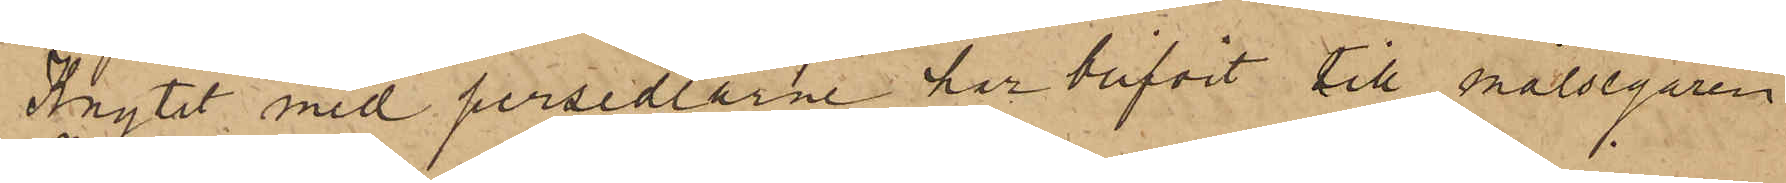Knytet med persedlarne har blifvit till målsegaren
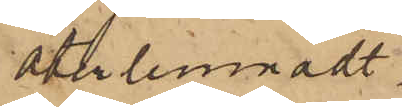återlemnadt.
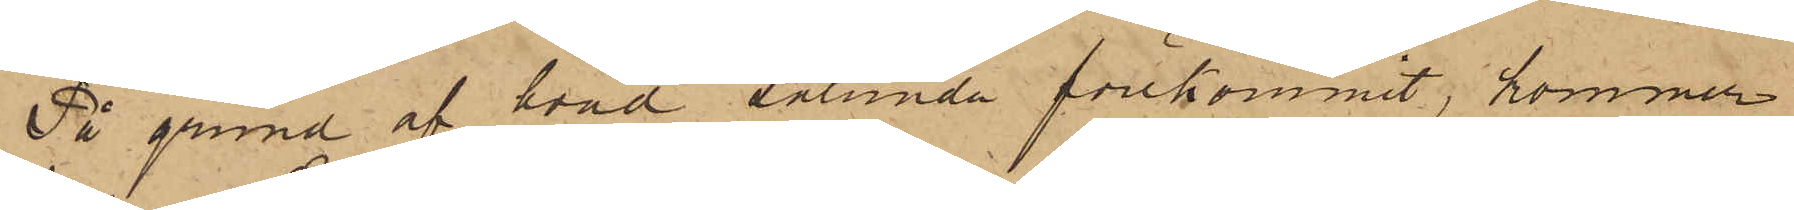På grund af hvad sålunda förekommit, kommer
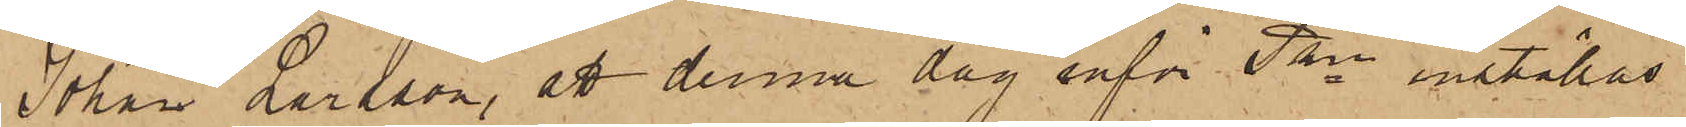Johan Larsson, att denna dag inför Pkn inställas
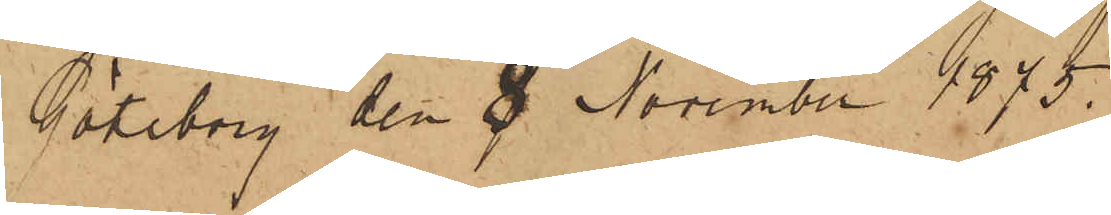Göteborg den 8 November 1875.
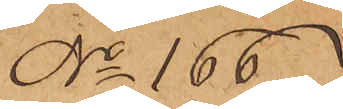No 166
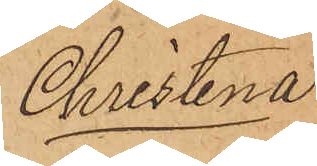Christina
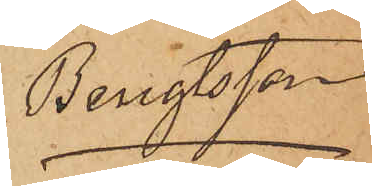Bengtsson
